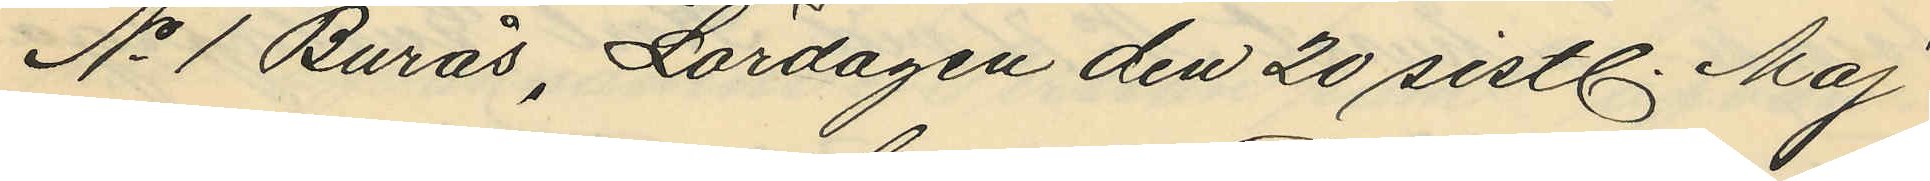No 1 Burås, Lördagen den 20 sistl. Maj
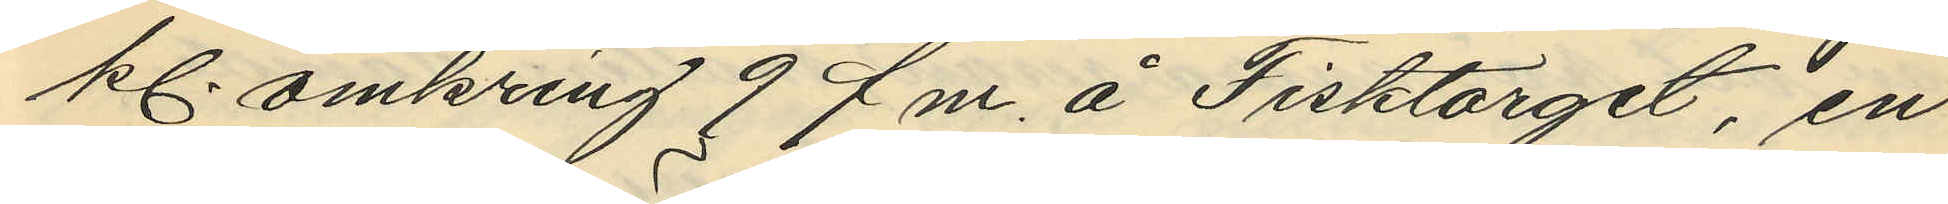kl. omkring 9 f. m. å Fisktorget, en
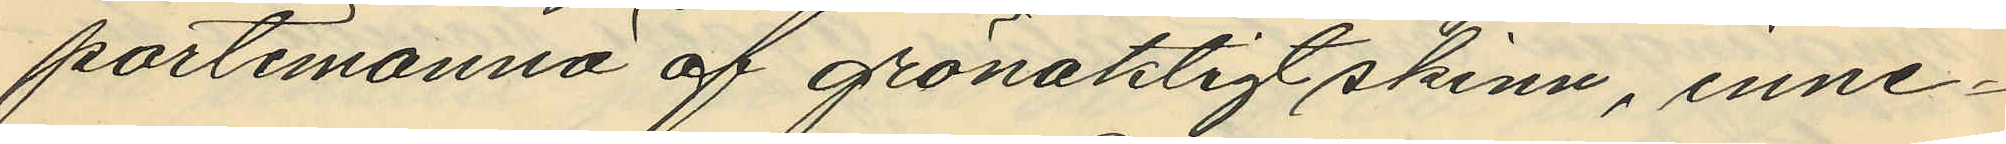portemonnä af grönaktigt skinn, inne¬
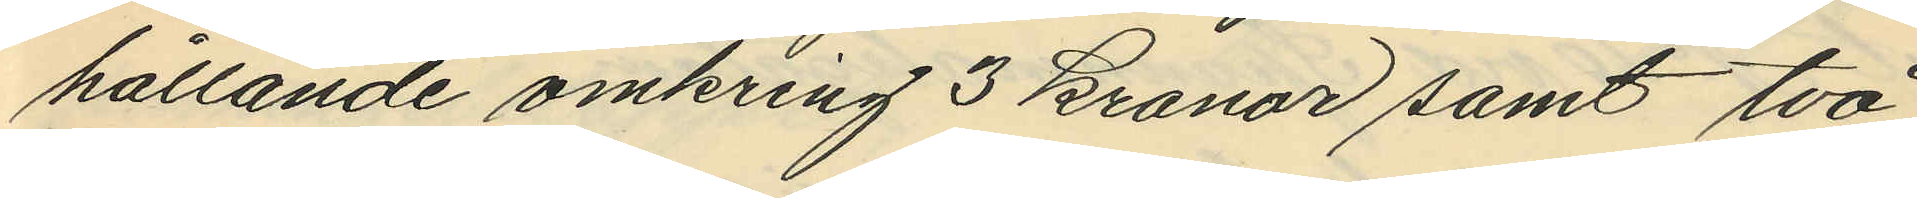hållande omkring 3 kronor samt två
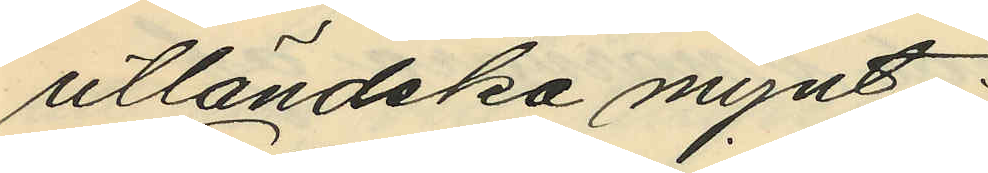utländska mynt.
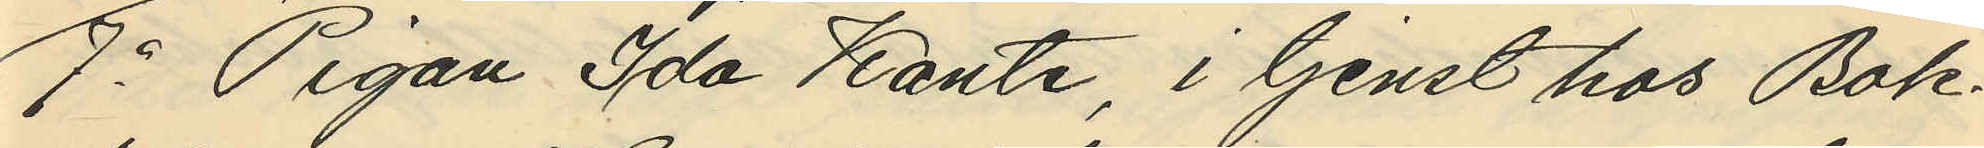7o Pigan Ida Kante, i tjenst hos Bok¬
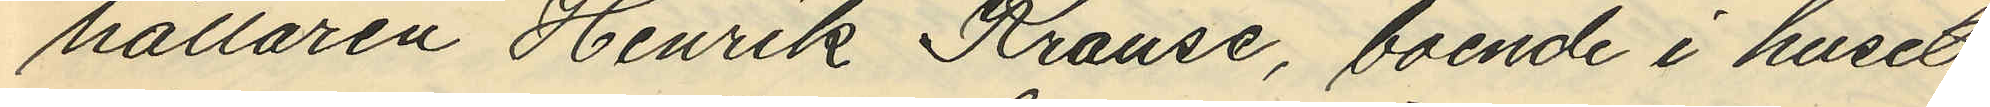hållaren Henrik Krause, boende i huset
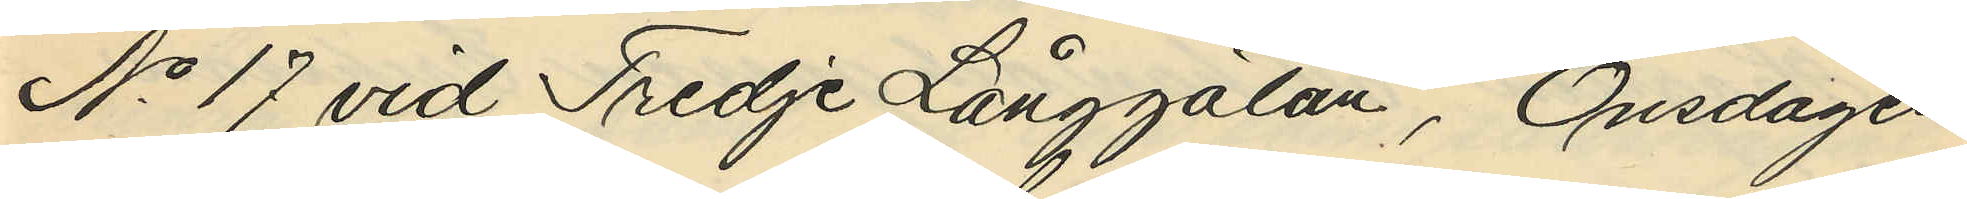No 17 vid Tredje Långgatan, Onsdagen
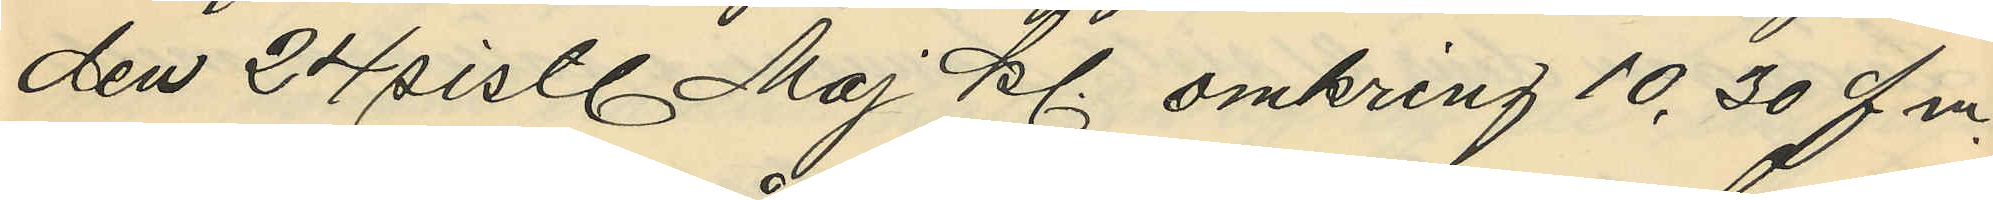den 24 sistl. Maj kl. omkring 10.30 f.m.
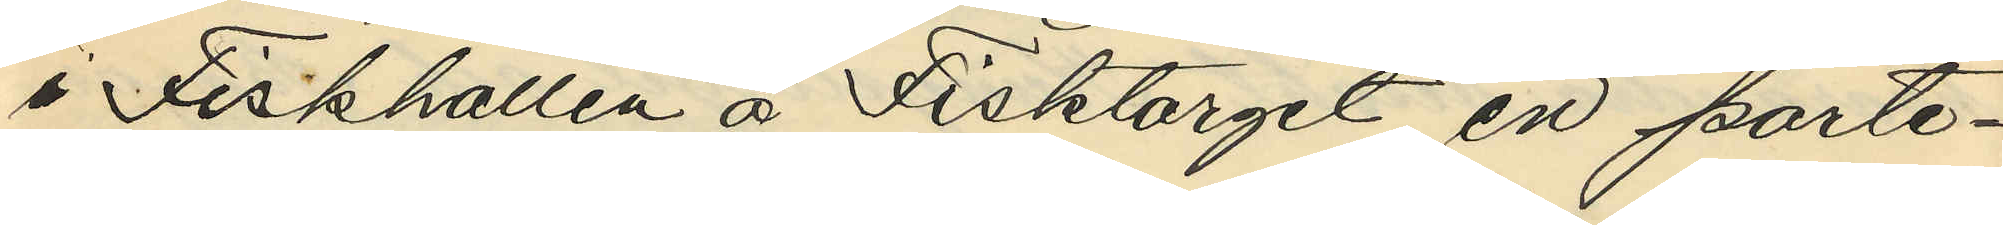i Fiskhållen å Fisktorget en porte¬
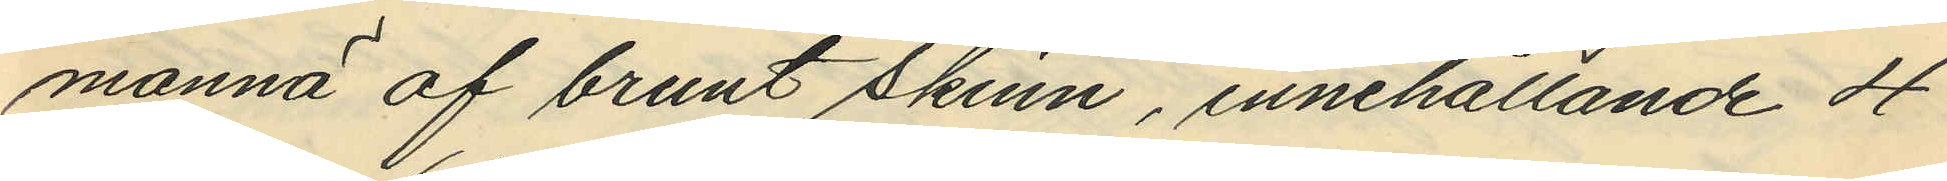monnä af brunt skinn, innehållande 4
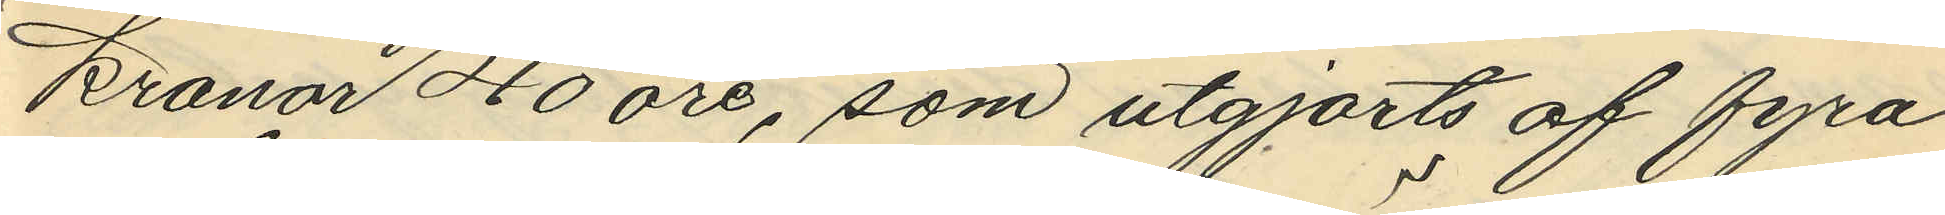Kronor 40 öre, som utgjorts af fyra
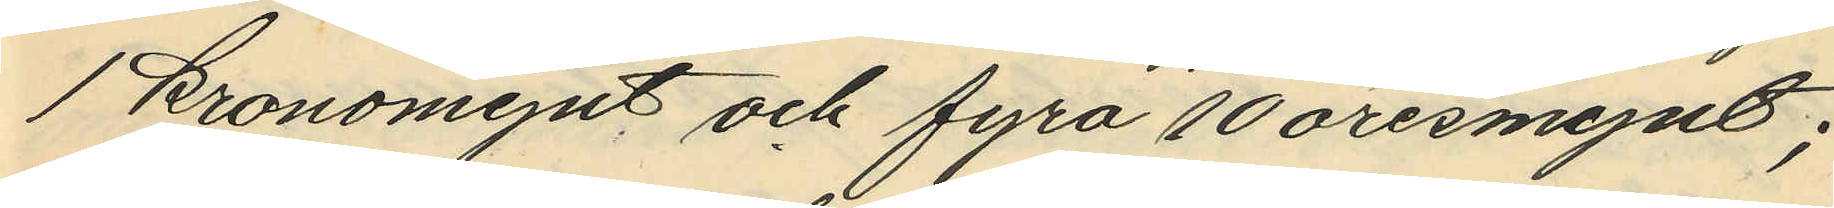1 kronomynt och fyra 10 öresmynt;
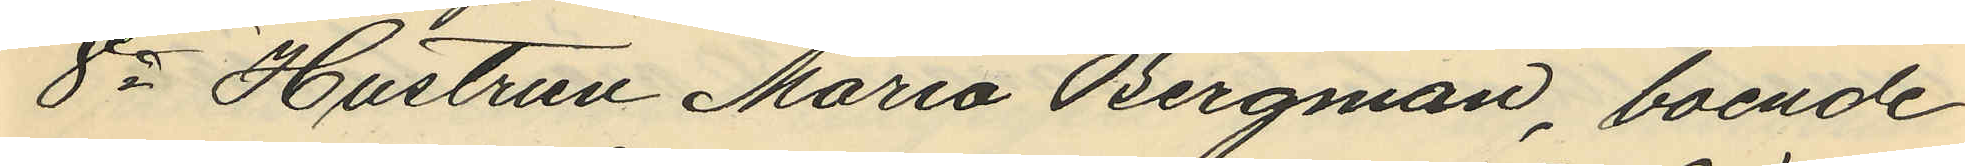8o Hustrun Maria Bergman, boende
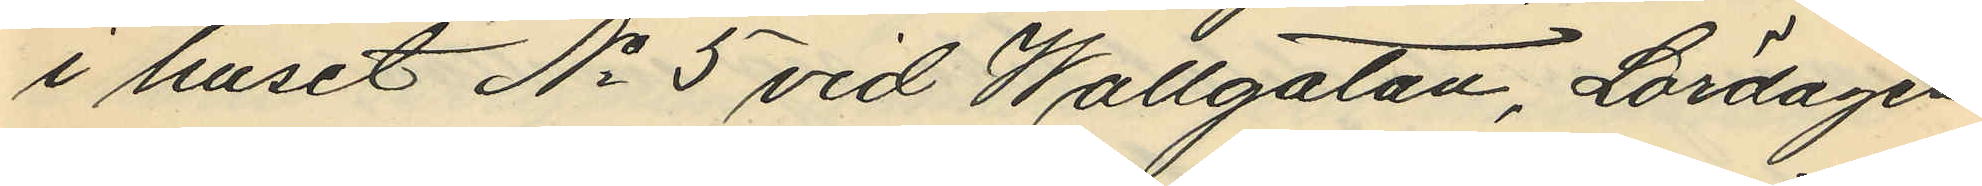i huset No 5 vid Wallgatan, Lördagen
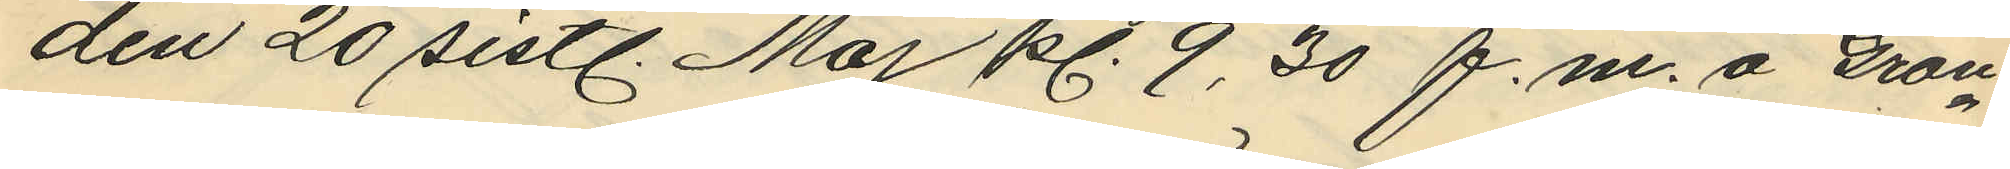den 20 sistl. Maj kl. 9,30 f.m. å Grön¬
